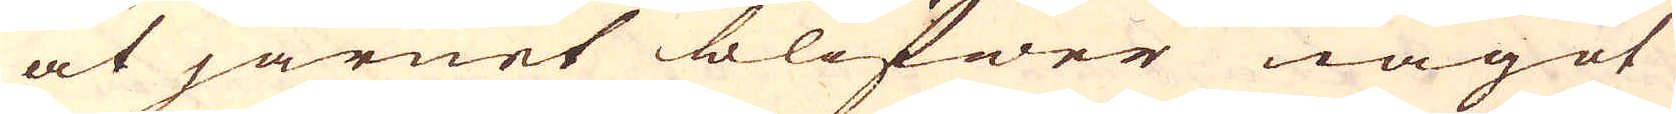at järnet blifwer något
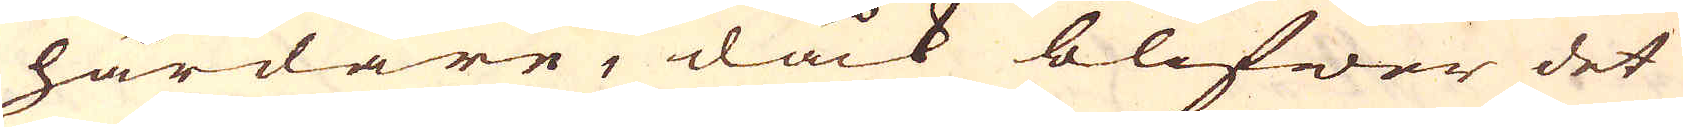hårdare, dåck blifwer det
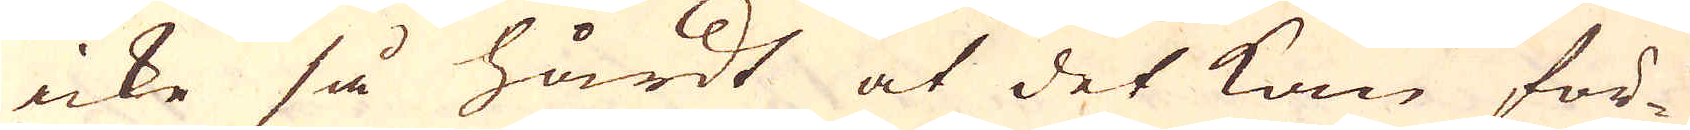icke så hårdt at det kan för-
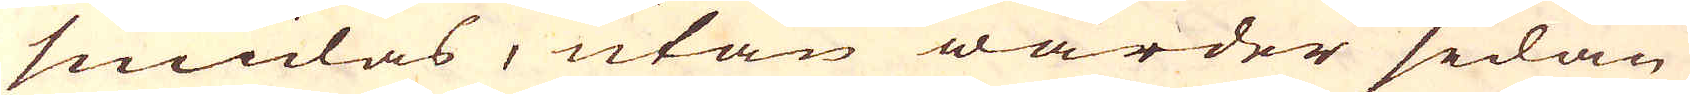smidas, utan warder sedan
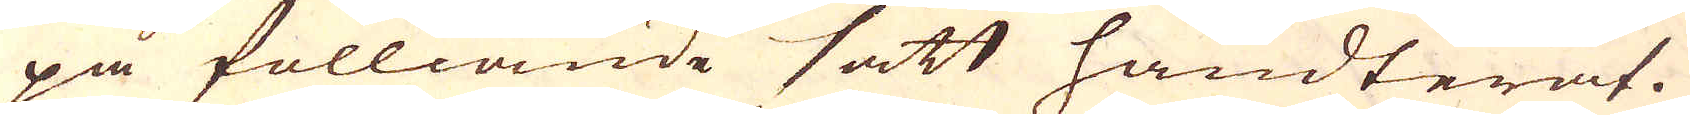på fölliande sätt handterat.
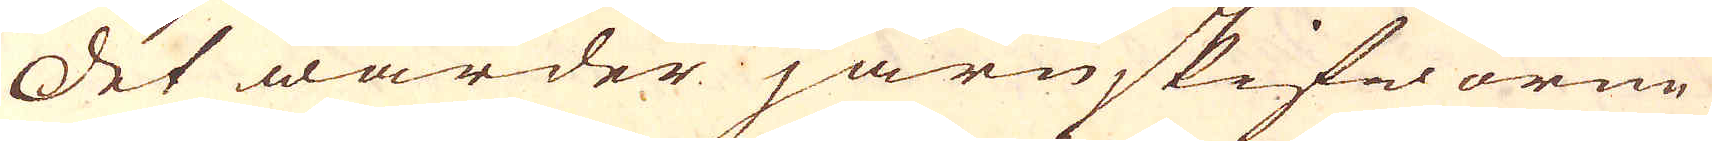Det warder järnskifworne
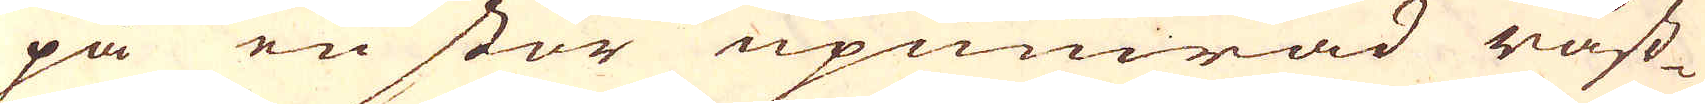på en stor upmurad råst-
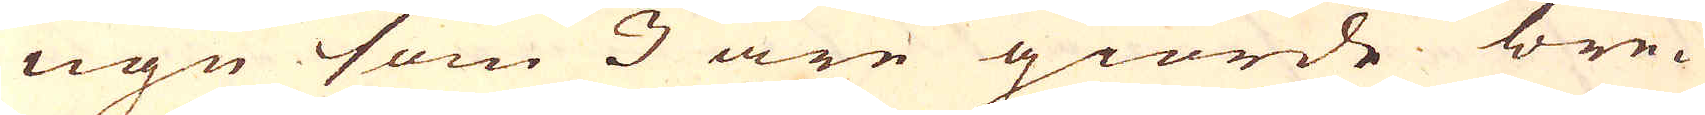ugn som 3 äre giorde bre-
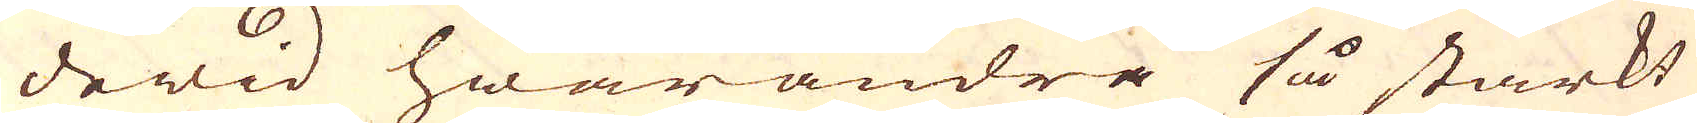dewid hwarandra så starkt
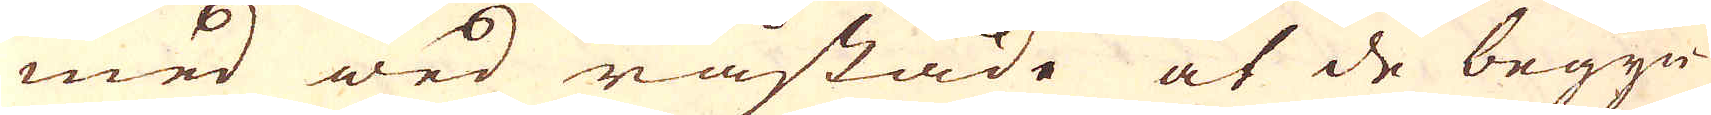med wed råstade at de begyn-
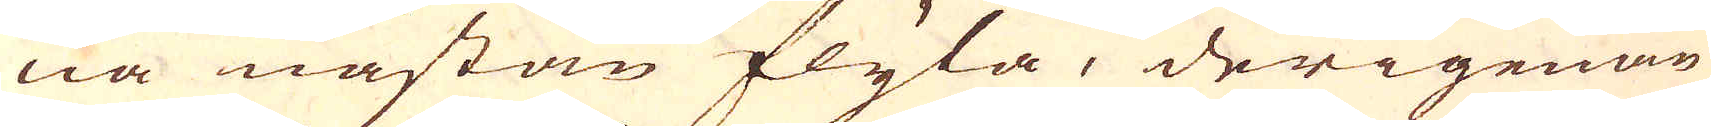na nästan flyta, derigenom
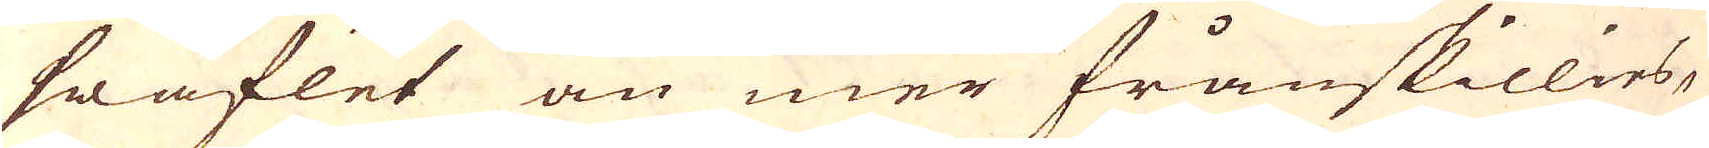swaflet än mer frånskillies,
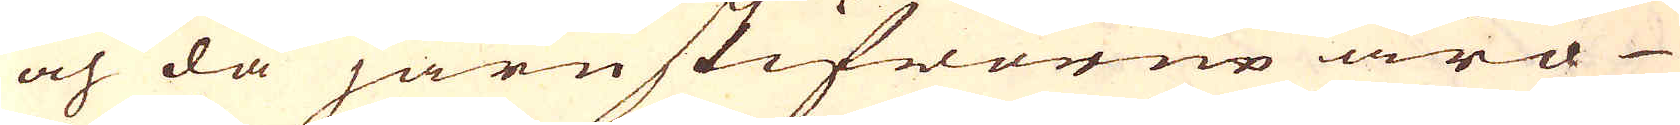och då järnskifworne äro
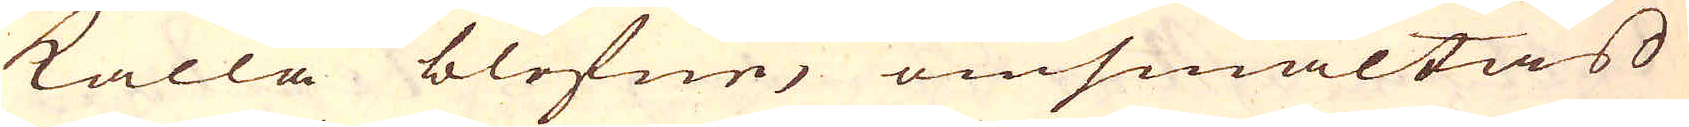kalla blefne, omsmältas
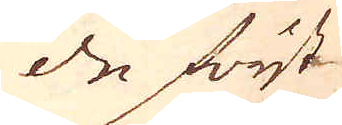de först
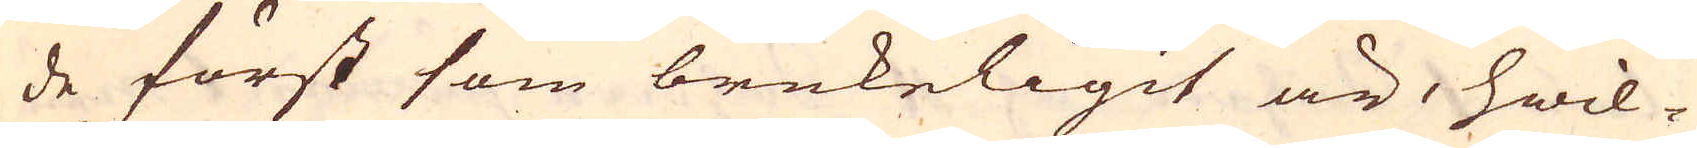de först som brukeligit är, hwil-
